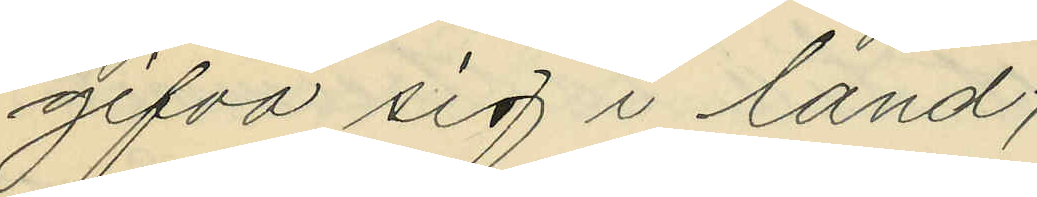gifva sig i land;
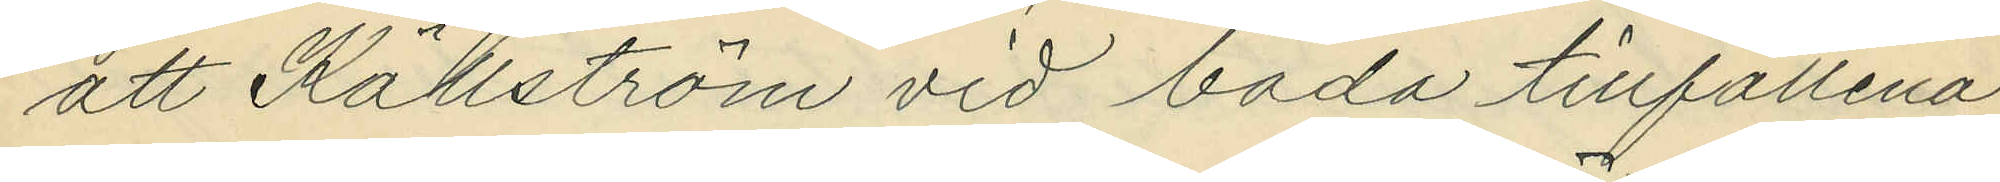att Källström vid båda tillfällena
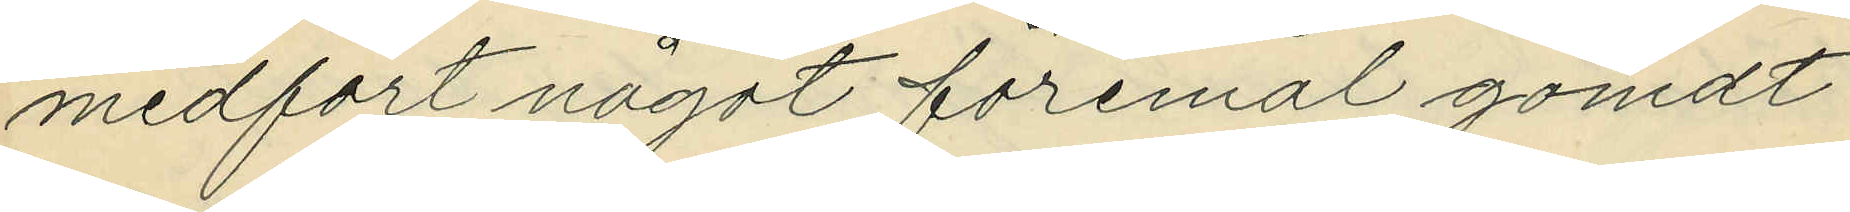medfört något föremål gömdt
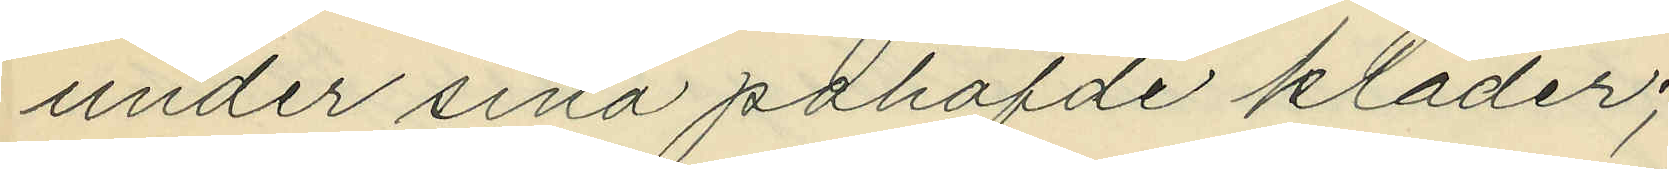under sina påhafde kläder;
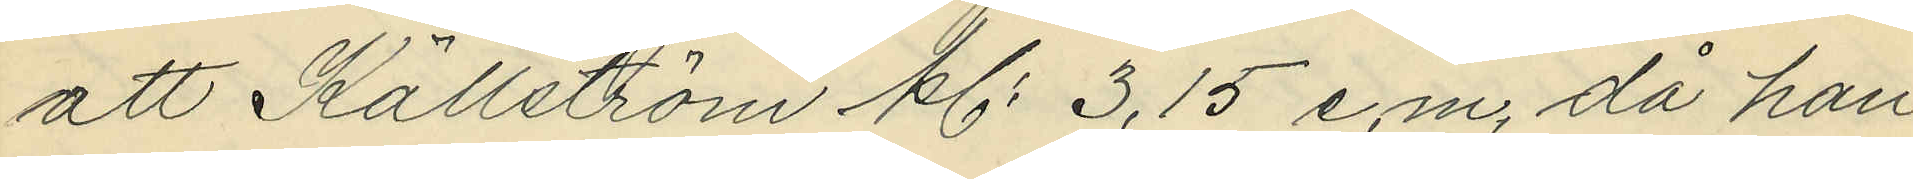att Källström kl. 3,15 e.m. då han
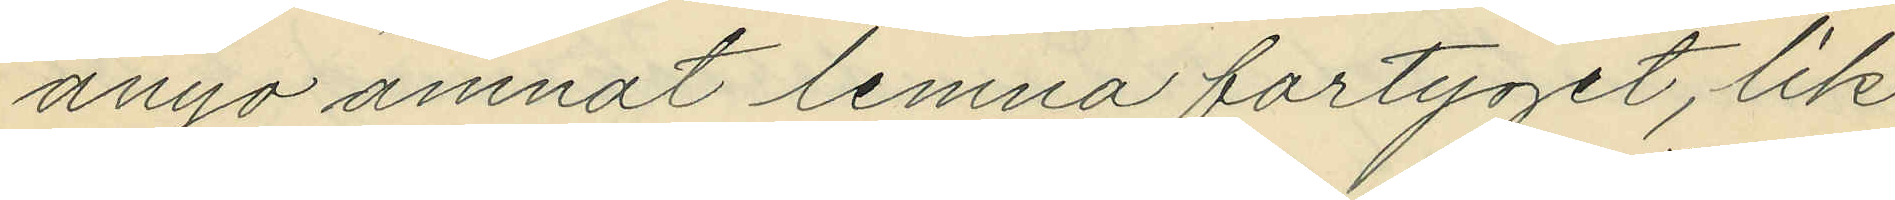ånyo ämnat lemna fartyget, lik¬
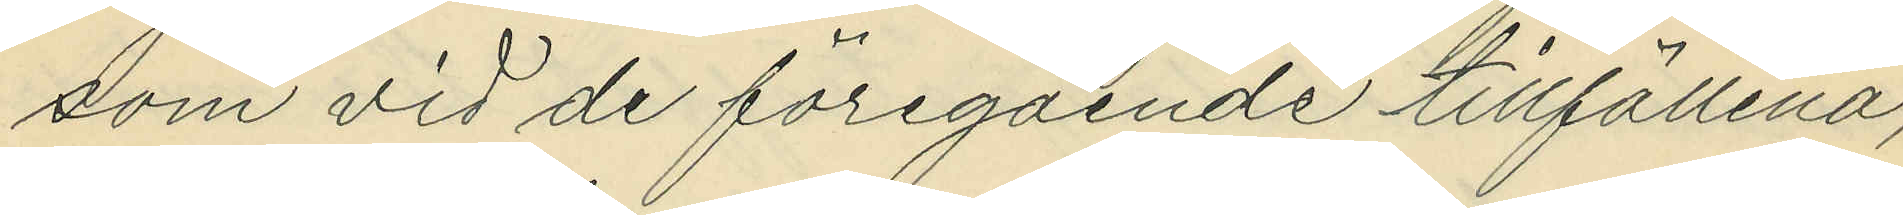som vid de föregående tillfällena,
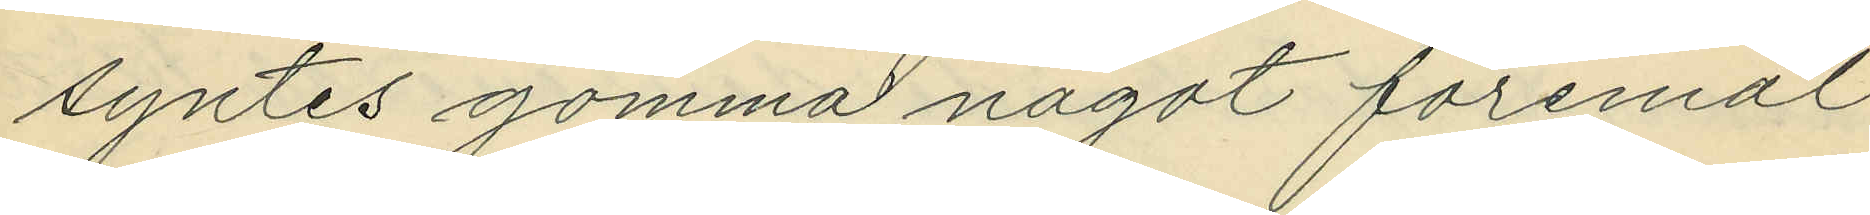syntes gömma något foremål
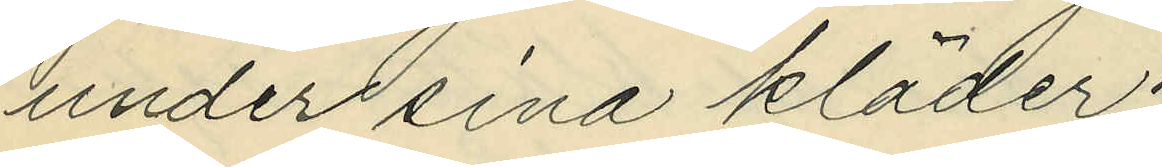under sina kläder;
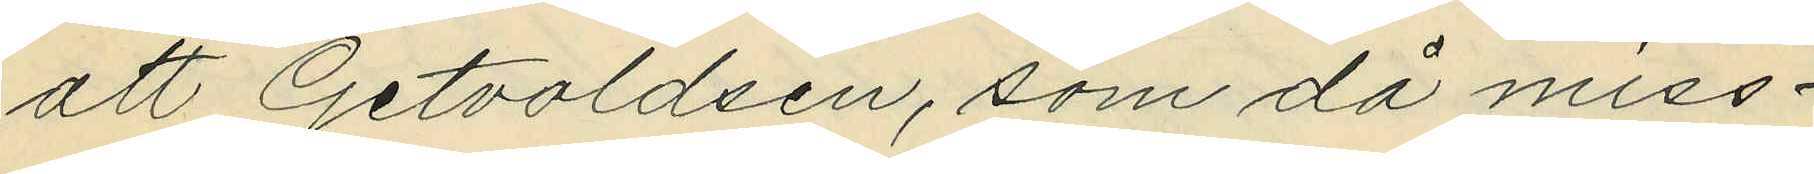att Getvoldsen, som då miss¬
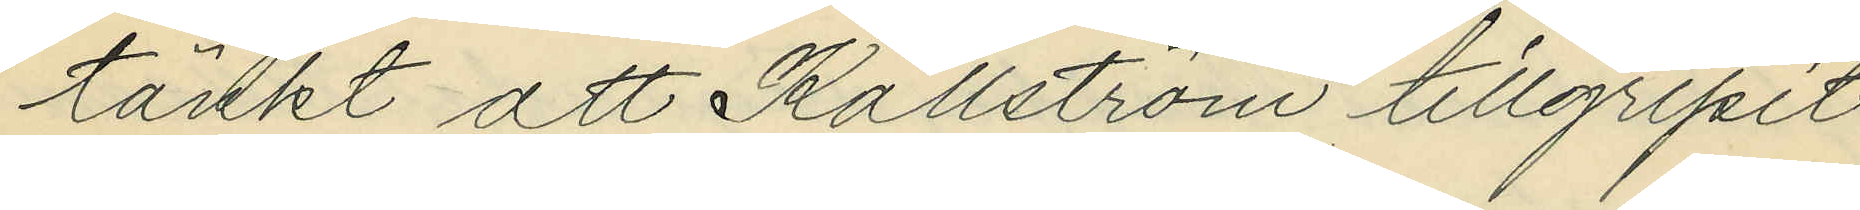tänkt att Källström tillgripit
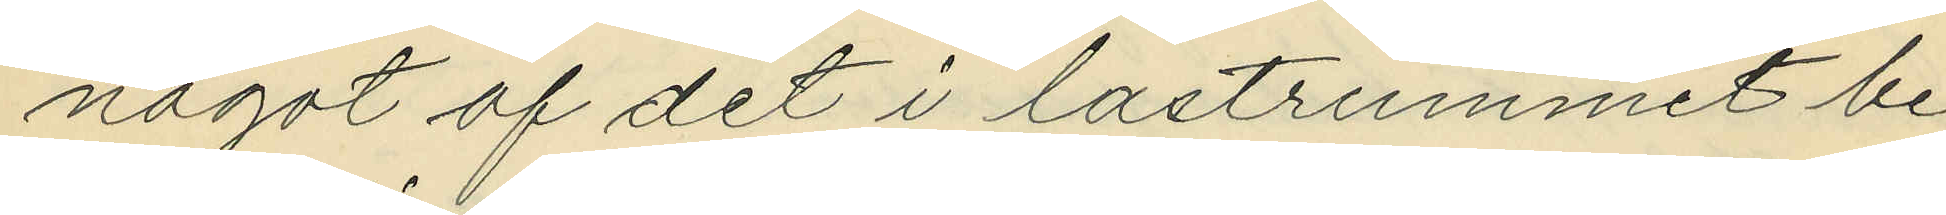något af det i lastrummet be¬
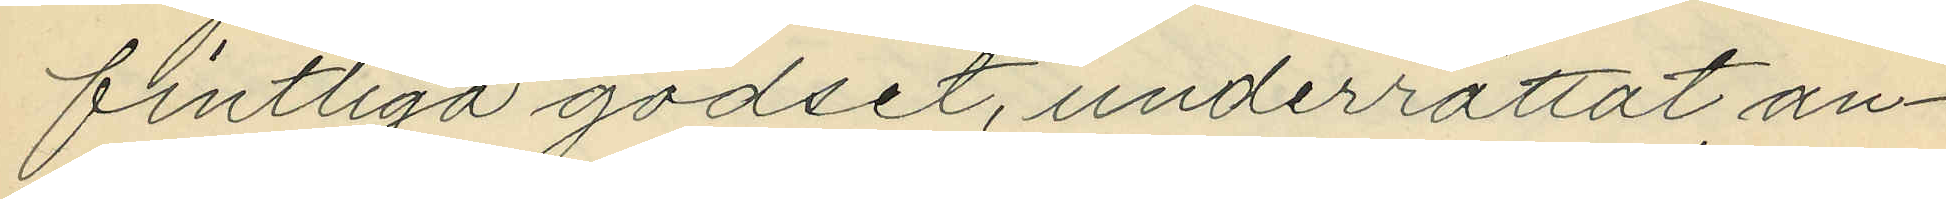fintliga godset, underrättat an¬
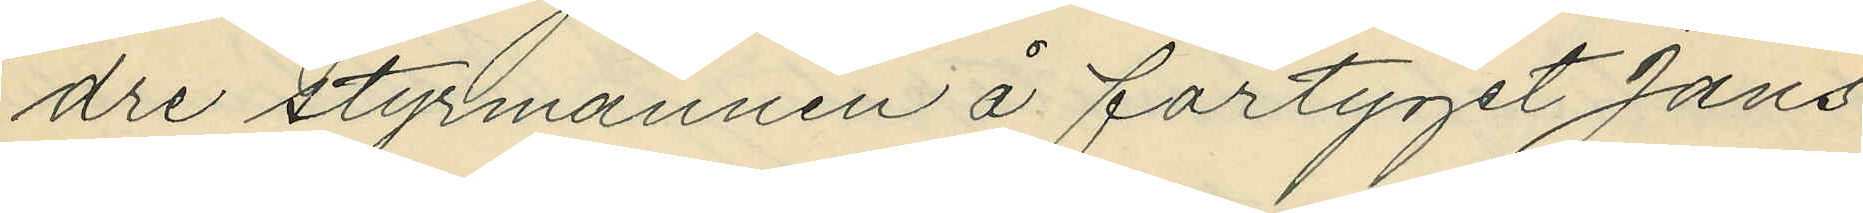dre styrmannen å fartyget Jans
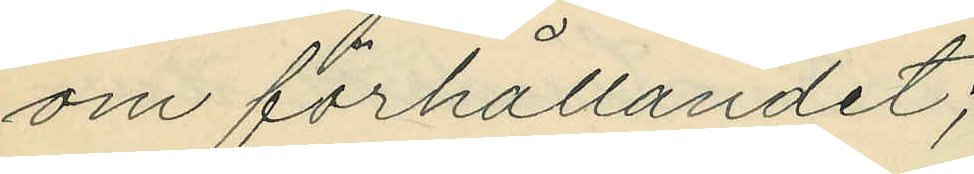om förhållandet;
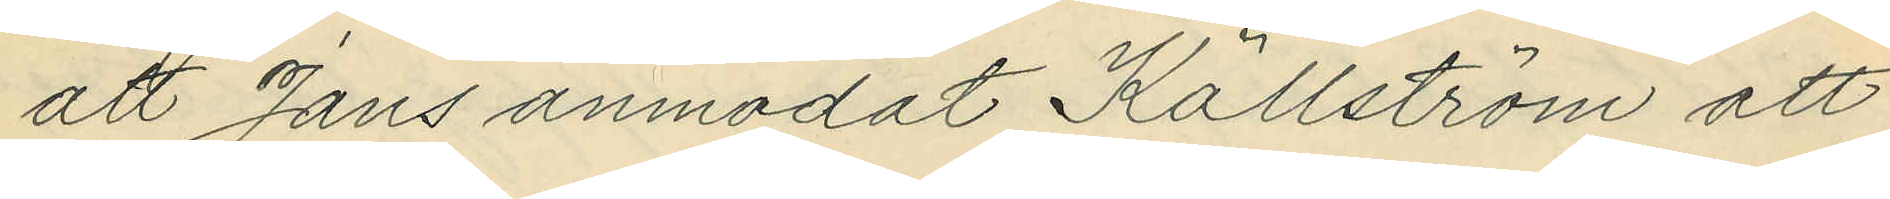att Jans anmodat Källström att
